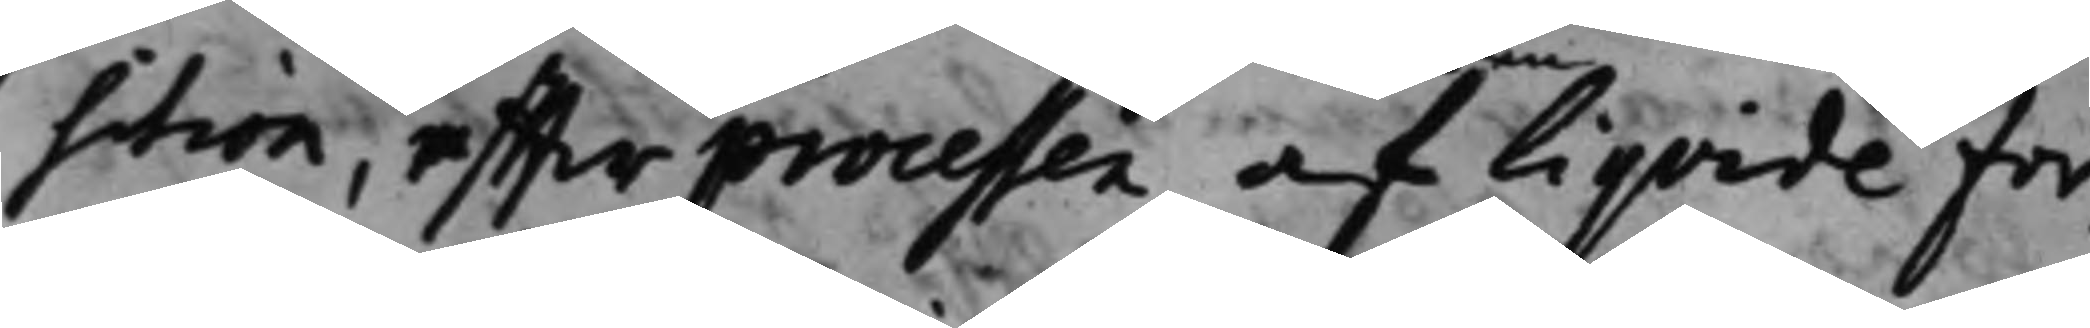sition, effter processen, af liqvide for¬
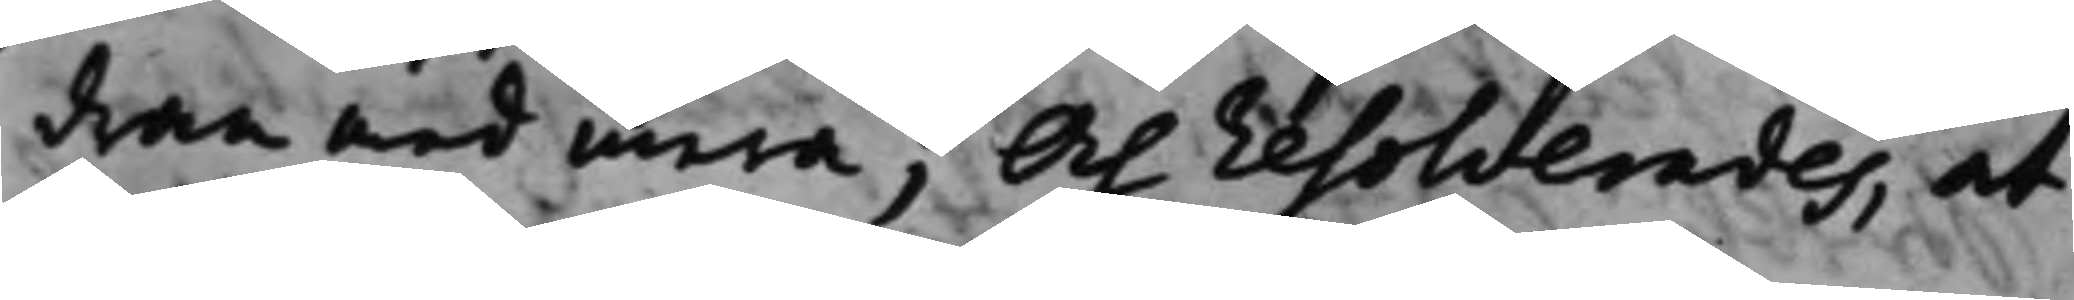dran med mera; Och resolverades, at
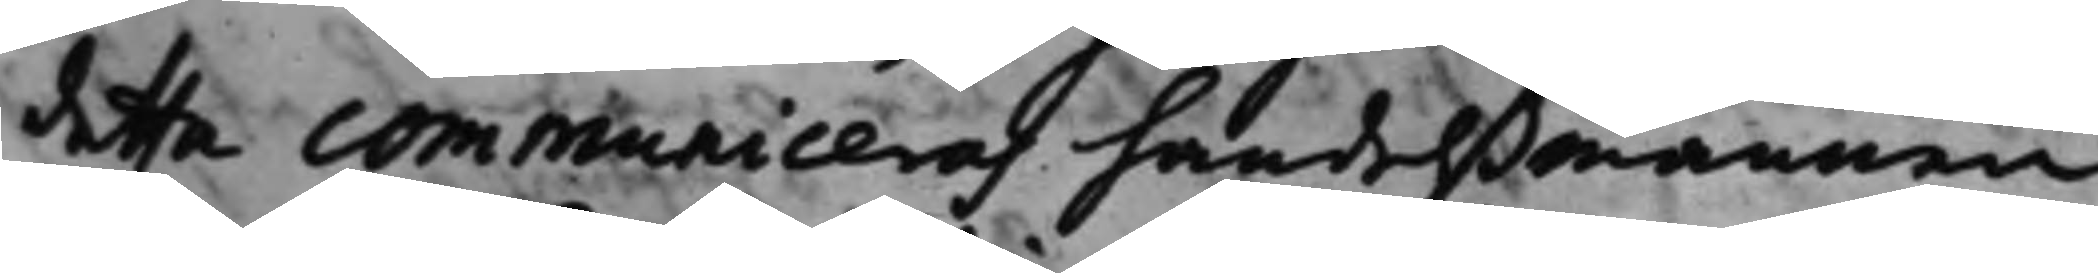detta communiceras handelßmannen
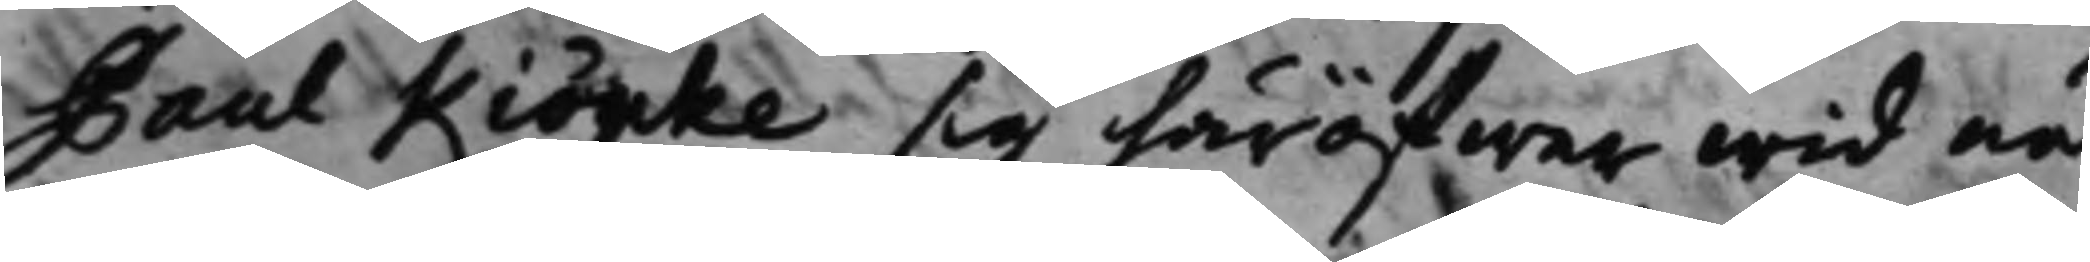Paul Kiöpke sig häröfwer wid nä¬
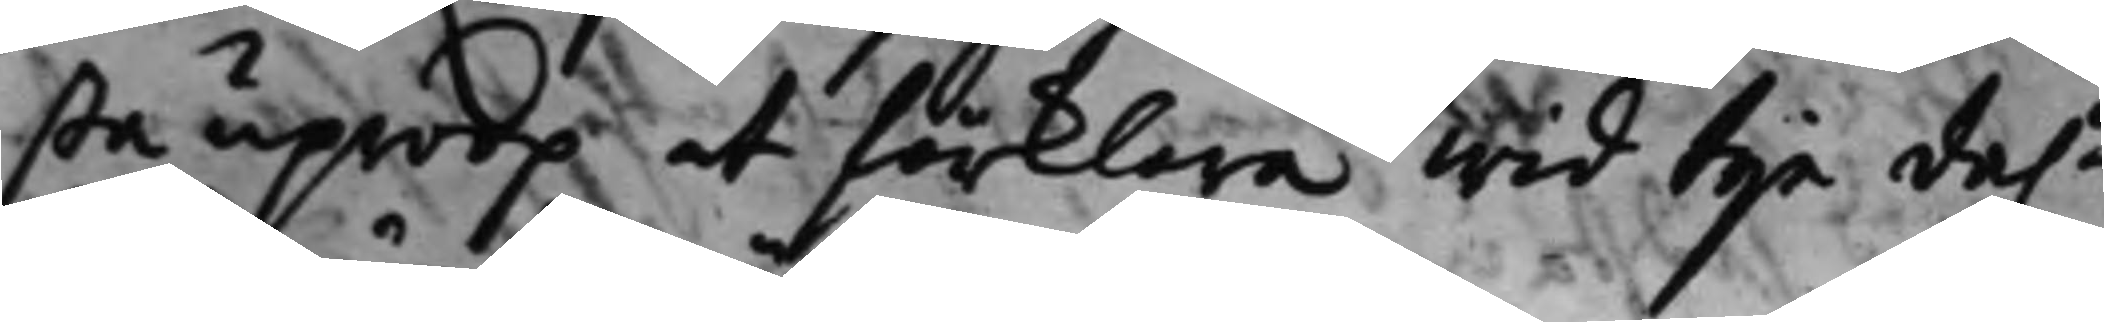sta uproop at förklara wid tije da.r 
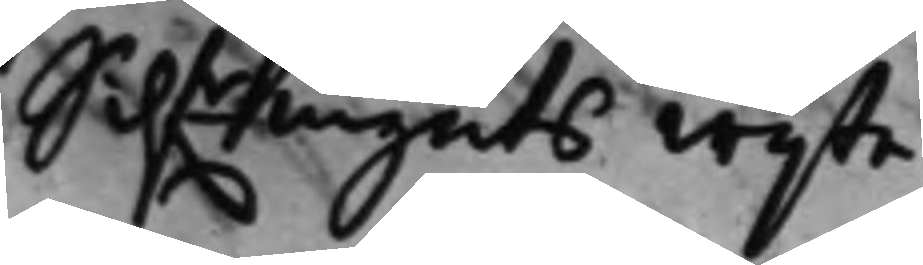Silfrmynts wijte. 
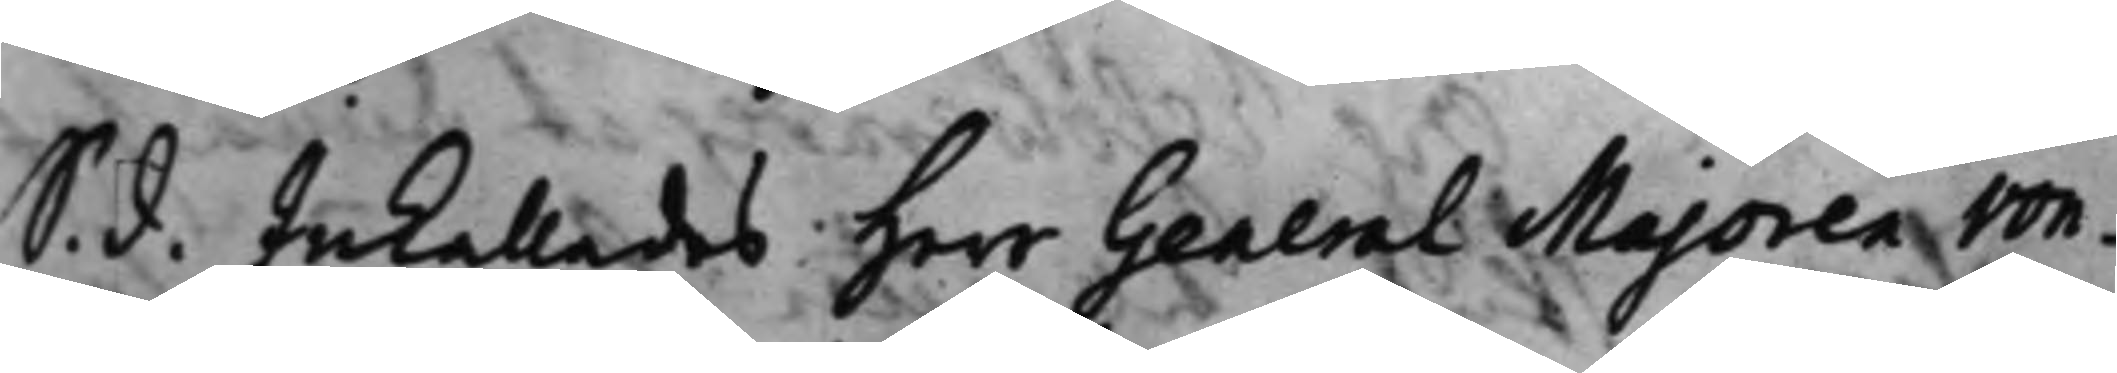S. d. Inkallades Herr General Majoren von¬ 
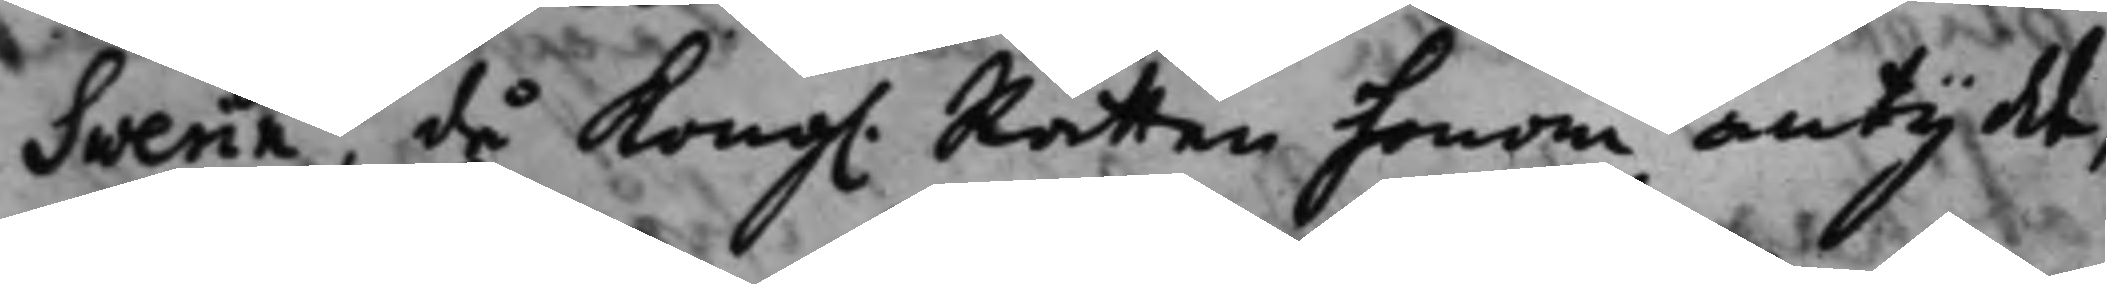Swerin, då Kong. Rätten honom antydt, 
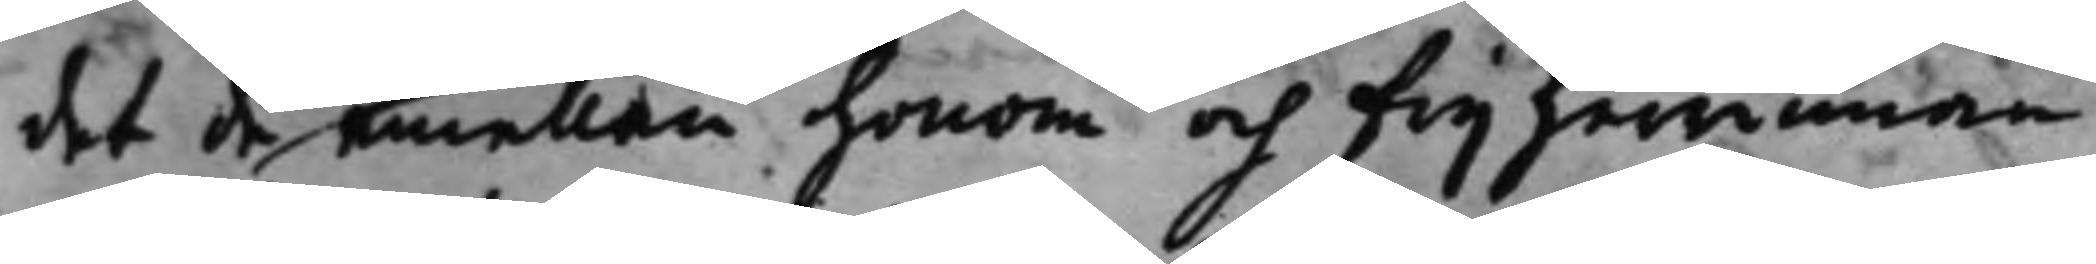det de emellan honom och frijherrinnan
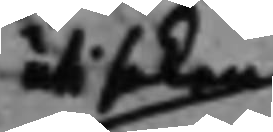uti saken
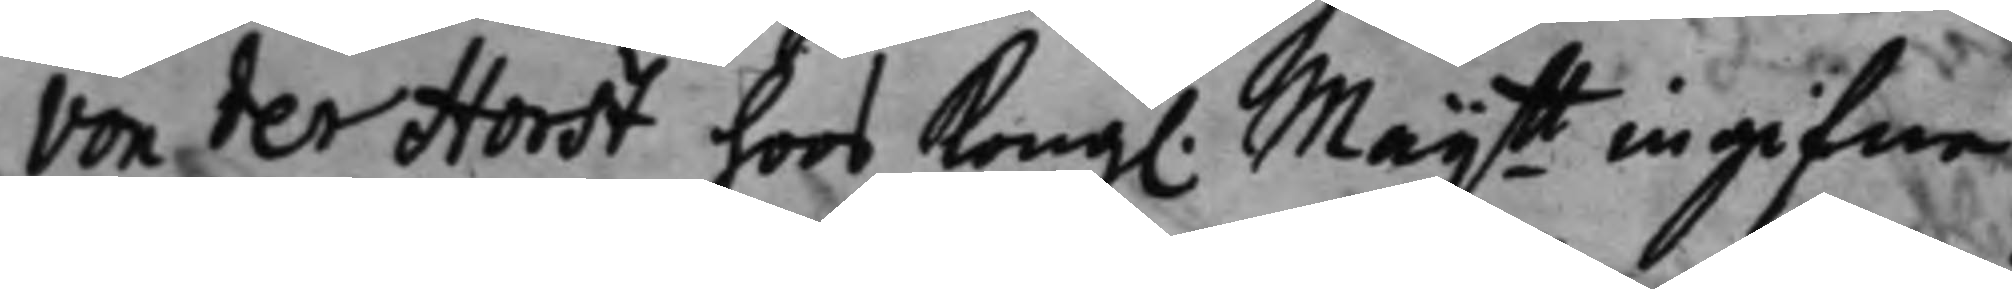von der Horst hoos Kong. Maijtt ingifne 
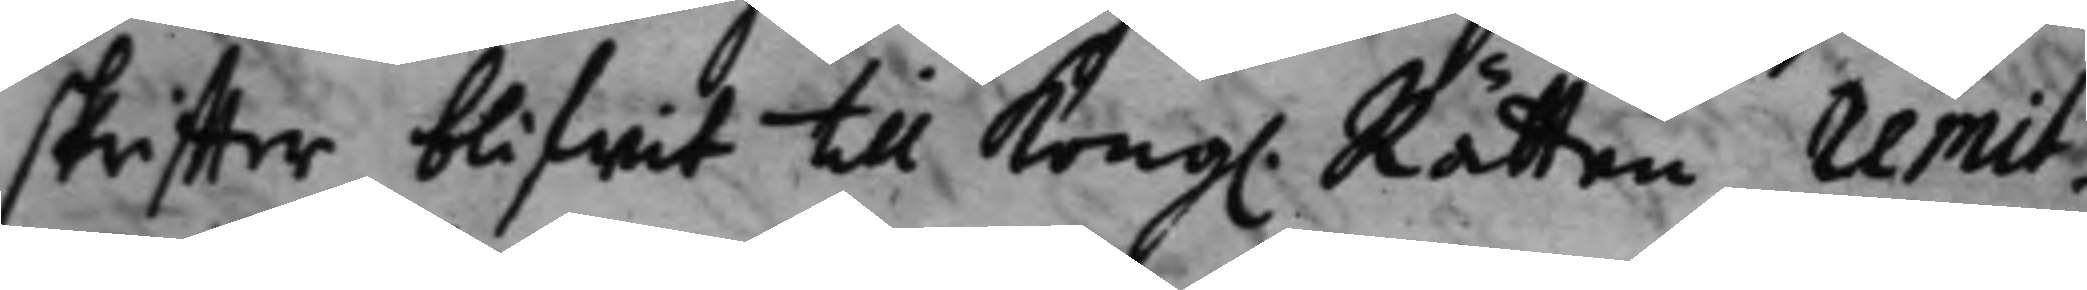skriffter blifwit till Kong. Rätten remit¬ 
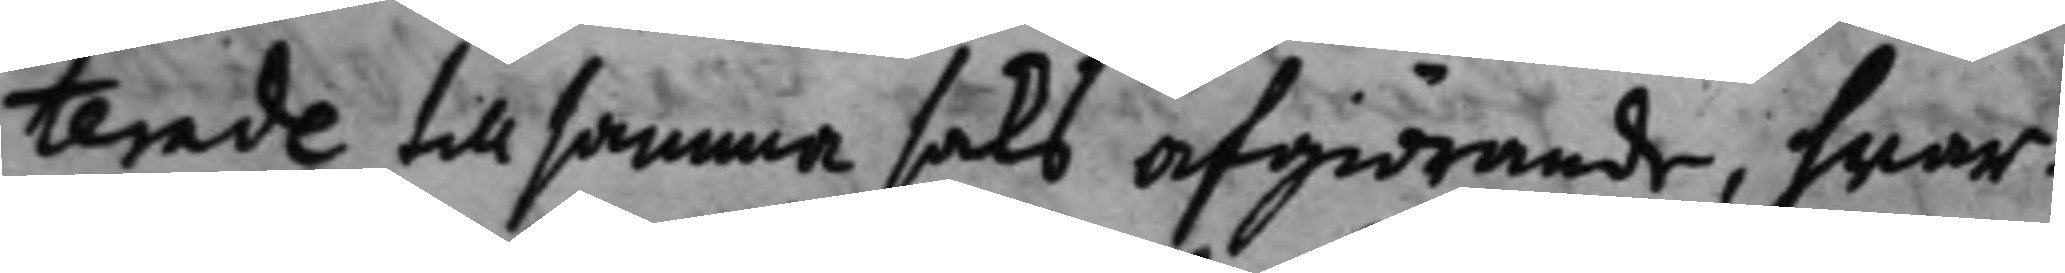terade till samma  saks afgiörande, hwar¬
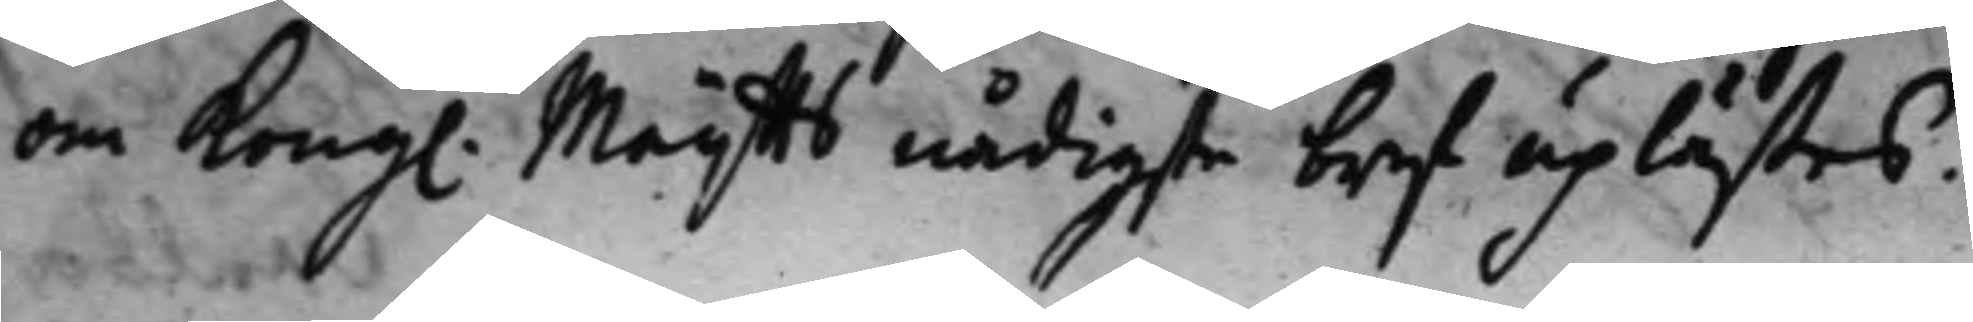om Kongl. Maijtts nådigste bref uplästes. 
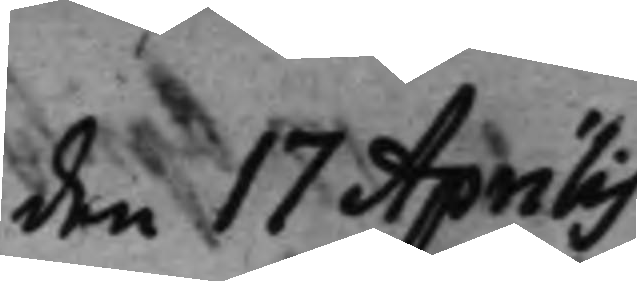den 17 Aprilis.
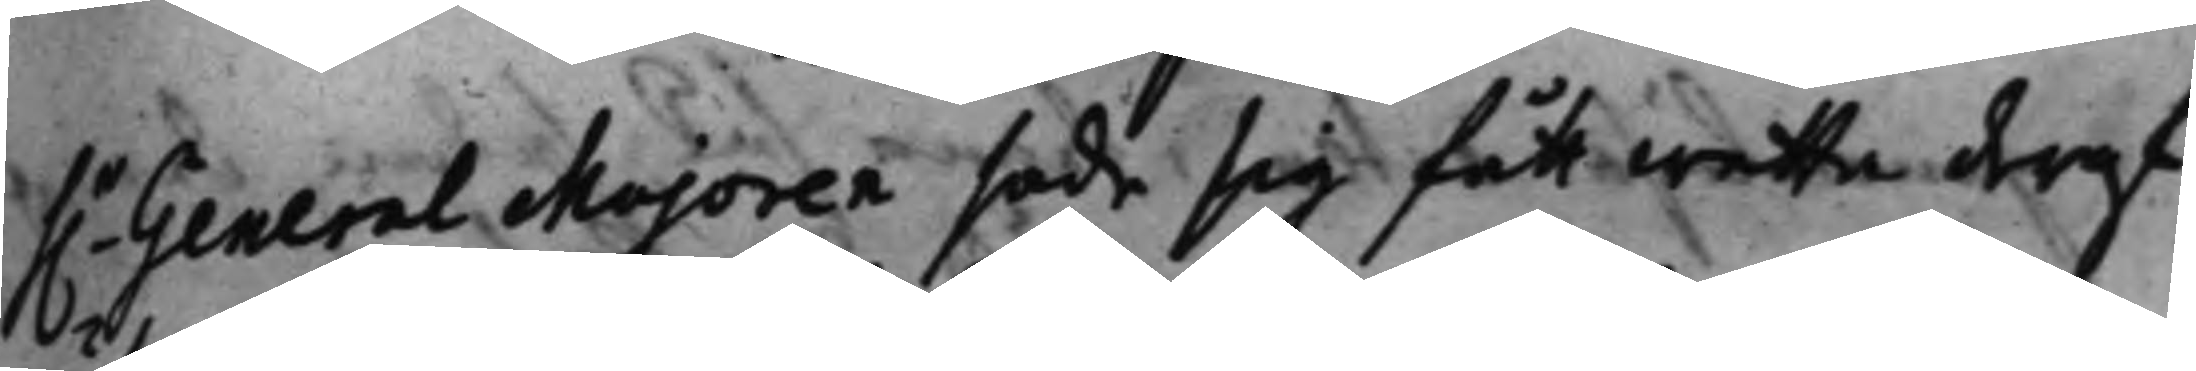h.r General Majoren sade sig fått wetta deraf 
